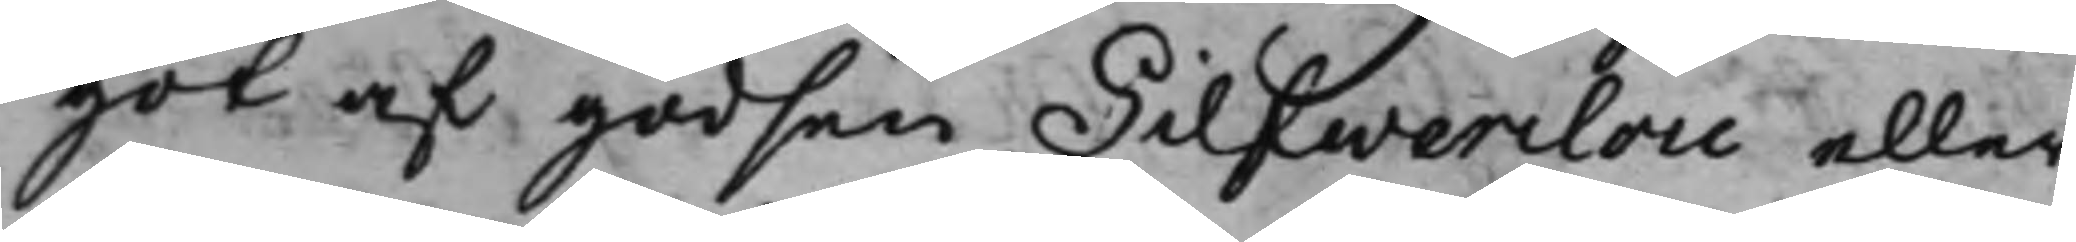got af godsen Silfwerclou eller
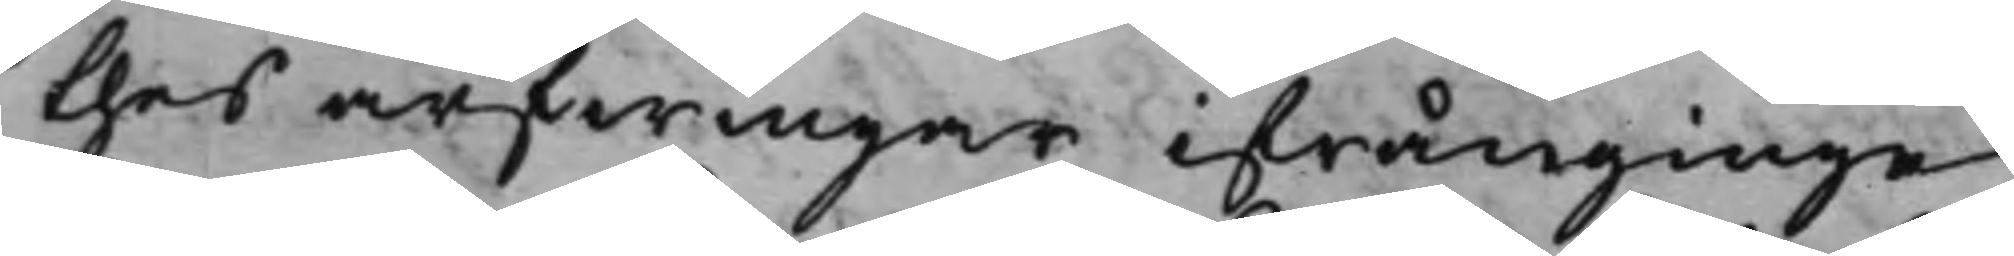thes arfwingar ifrånginge.
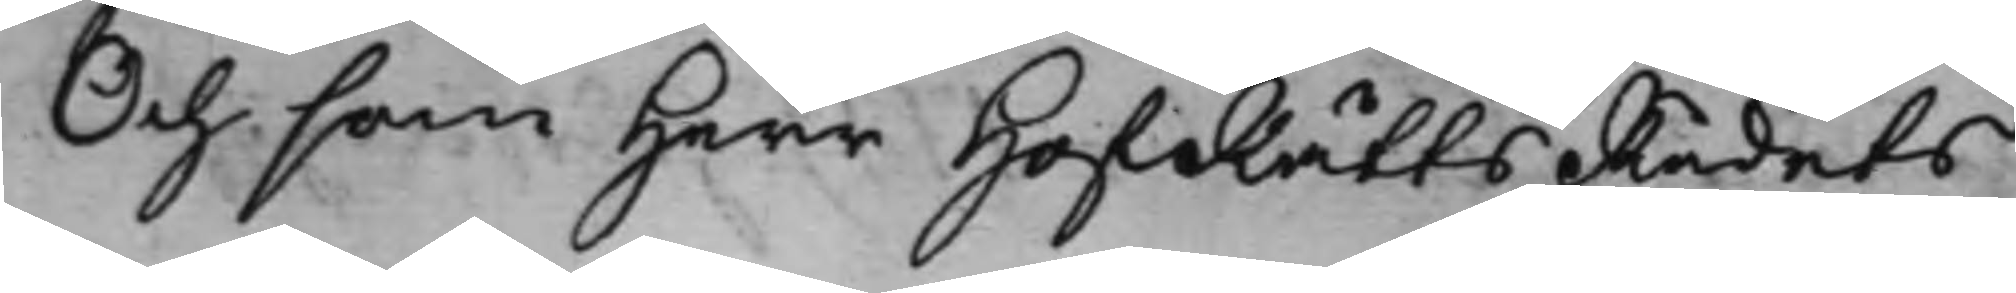Och som Herr HofRättsRådets
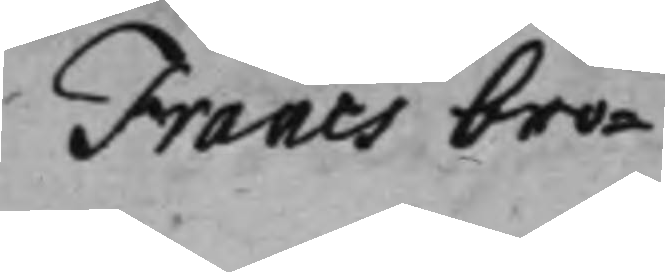Francs bro¬
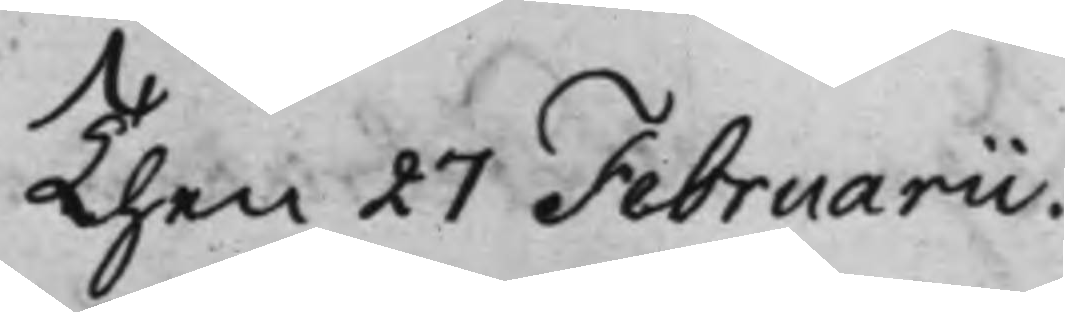Then 27 Februarii.
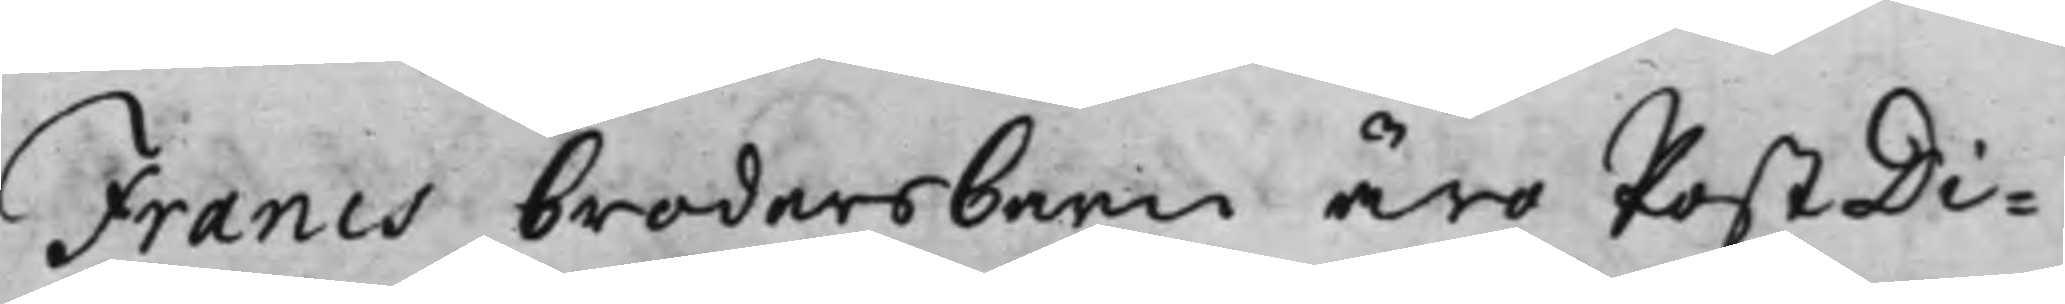Francs brodersbarn äro PostDi¬
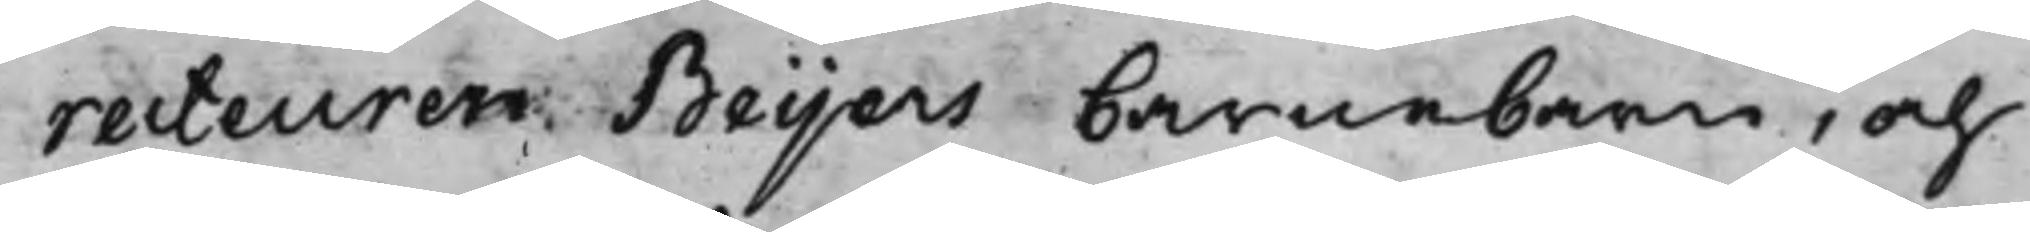recteuren Beijers barnebarn, och
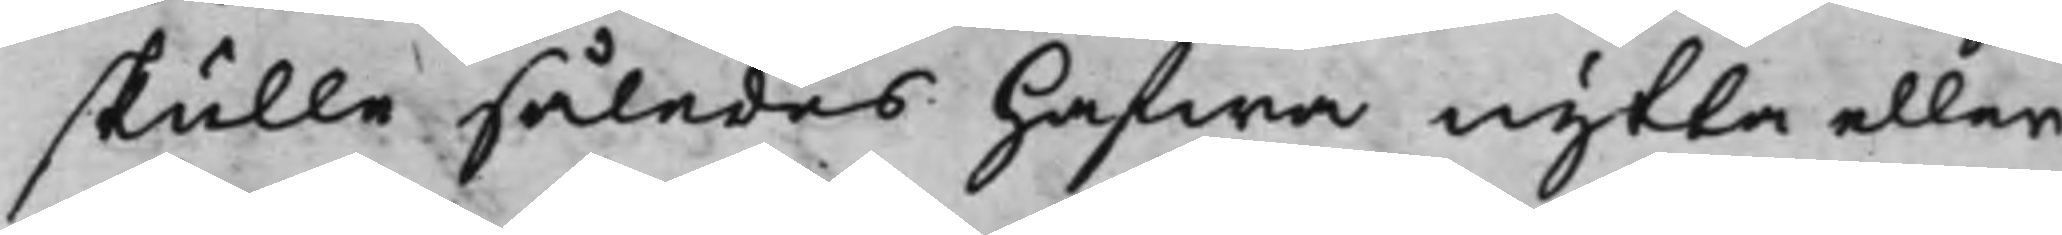skulle således hafwa nytta eller
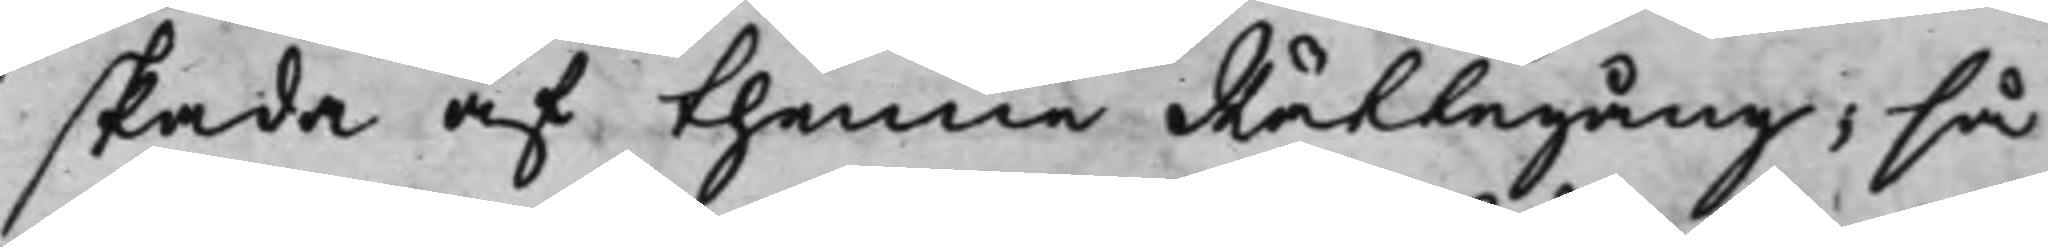skada af thenne Rättegång, så
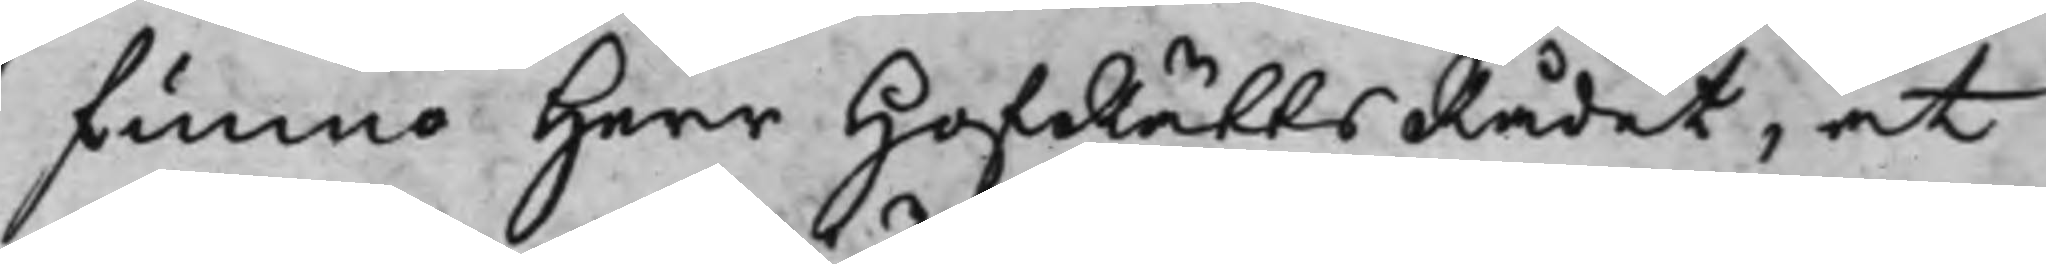funno Herr HofRättsRådet, at
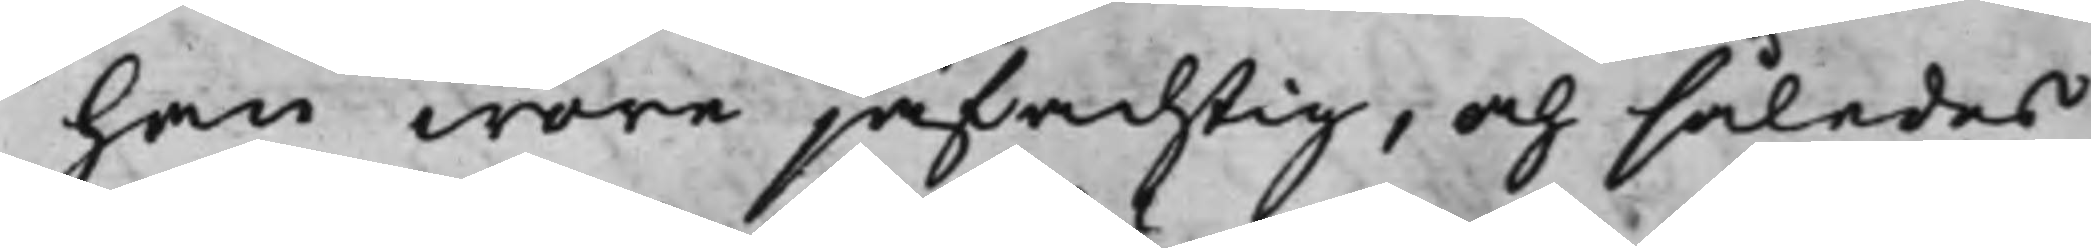han wore jäfachtig, och således
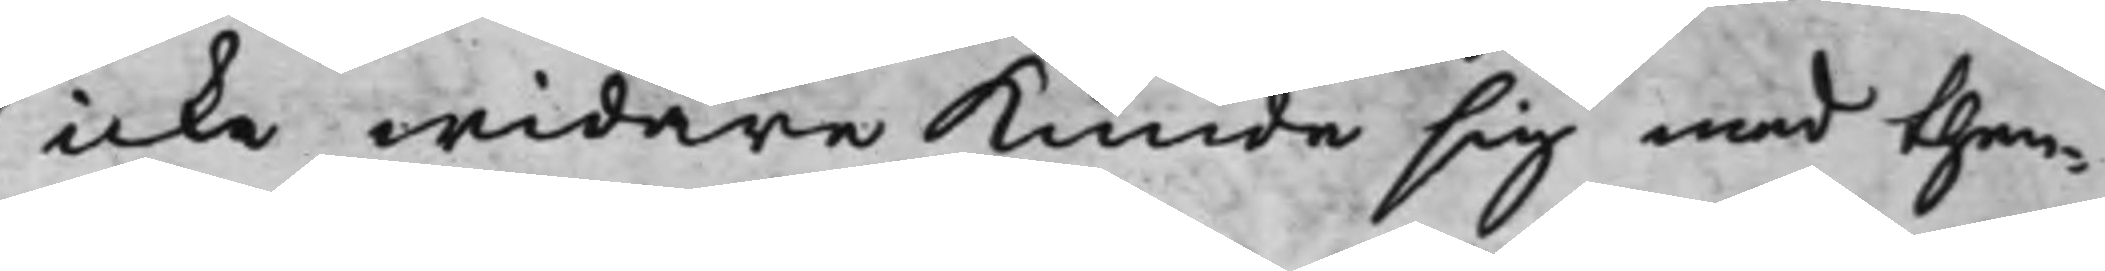icke widare kunde sig med then¬
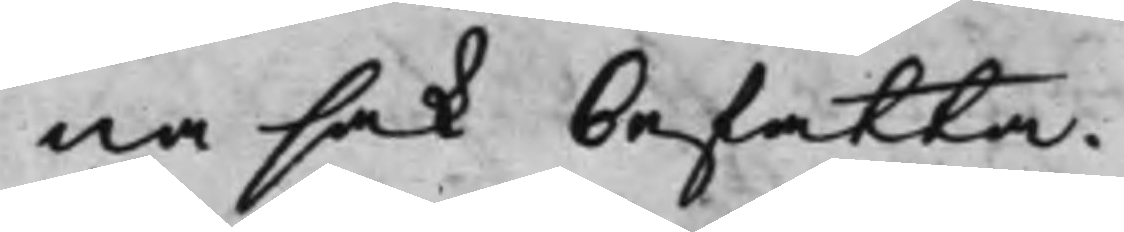na sak befatta.
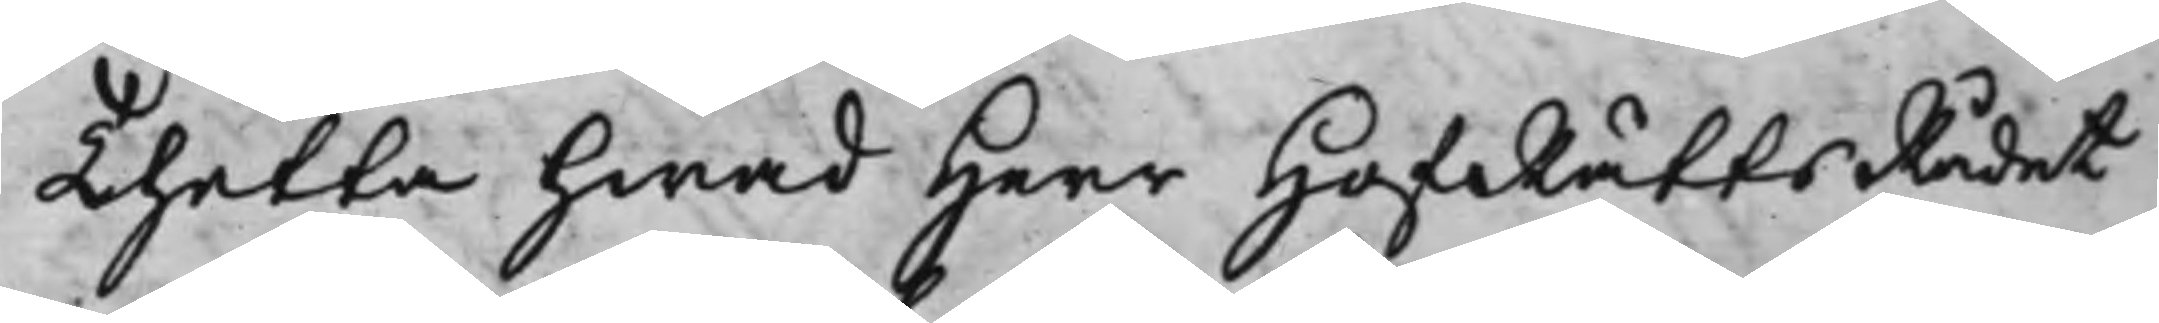Thetta hwad Herr HofRättsRådet
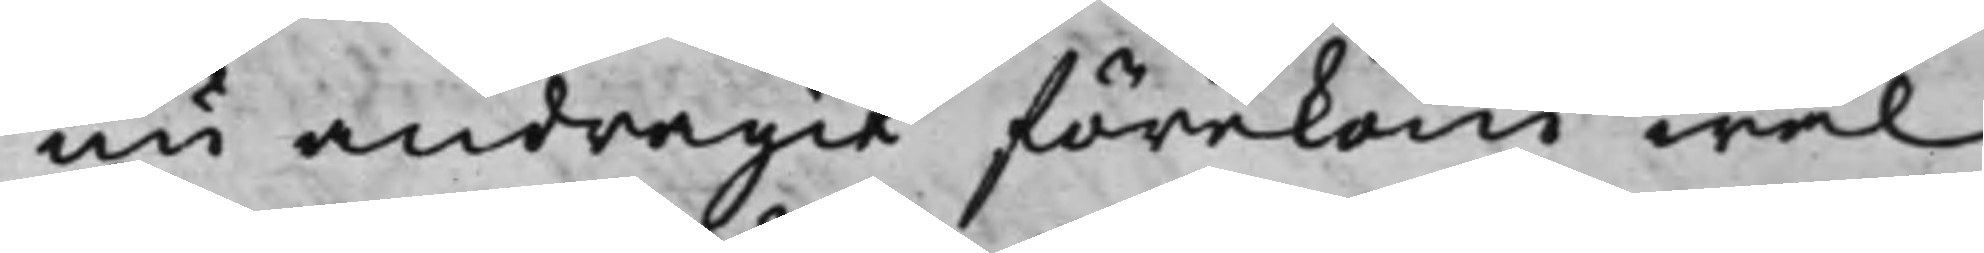nu andragit förekom wäl
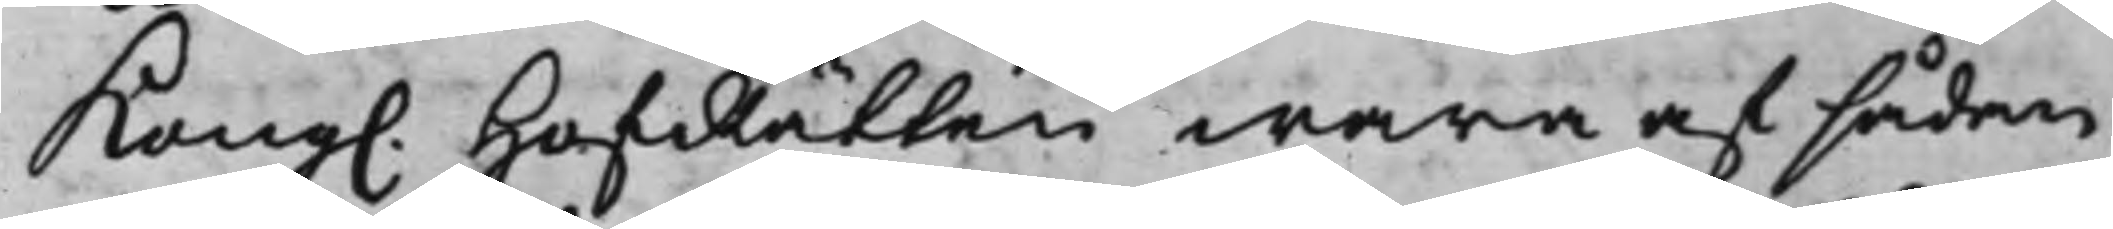Kong. HofRätten wara af sådan
